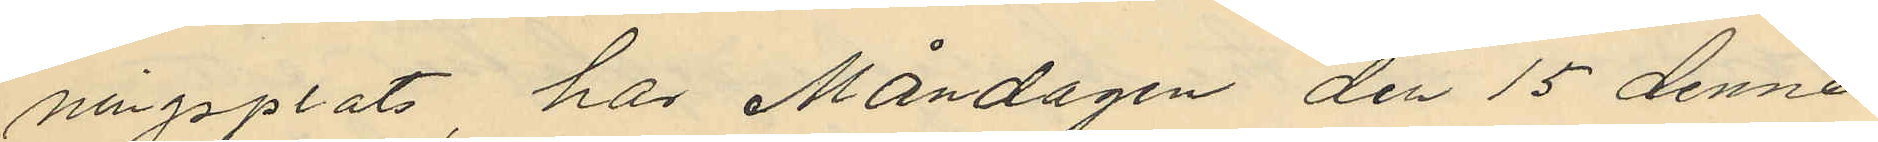ningsplats har Måndagen den 15 dennes
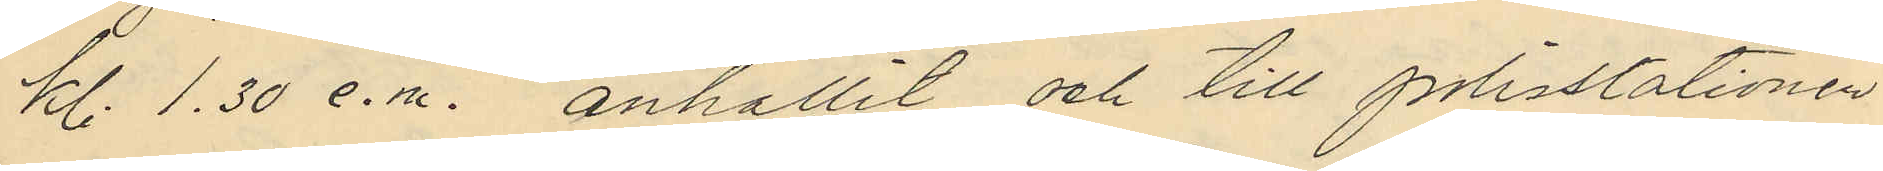kl. 1.30 e.m. anhållit och till polisstationen
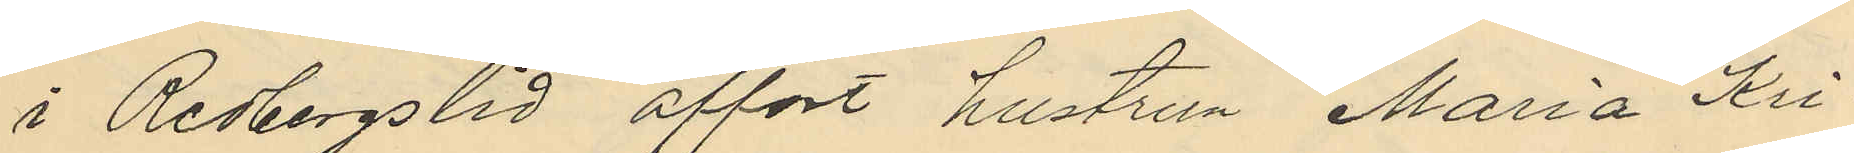i Redbergslid affört hustrun Maria Kri¬
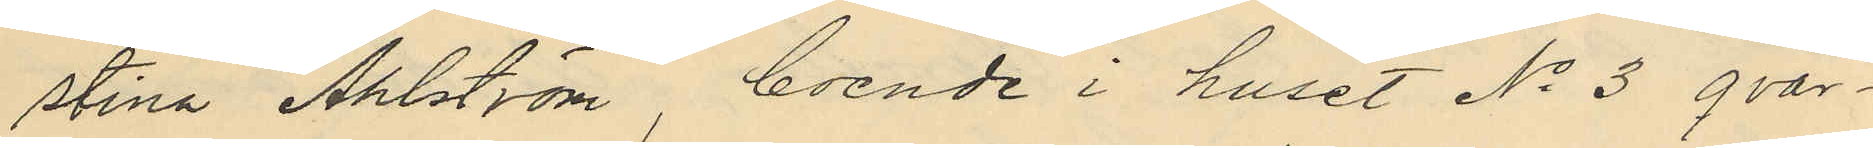stina Ahlström, boende i huset No 3 qvar¬
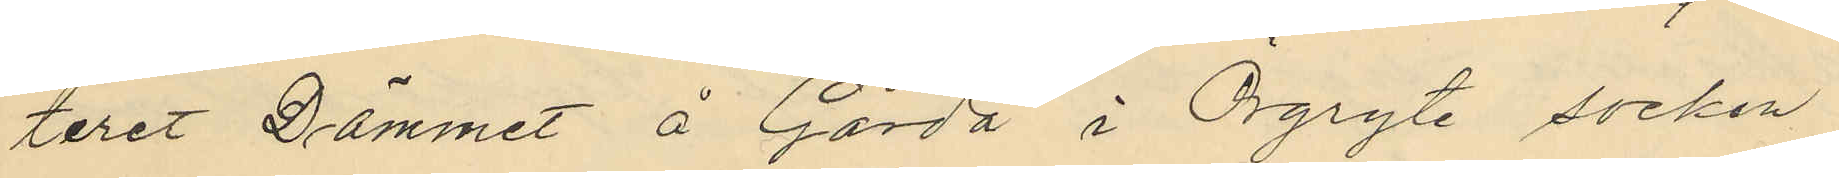teret Dämmet å Gårda i Örgryte socken
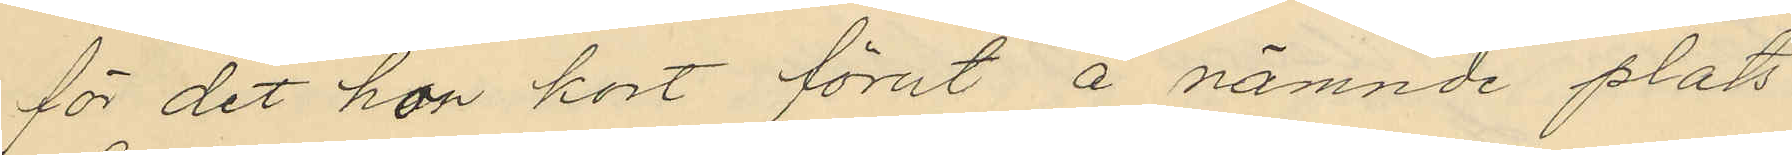för det hon kort förut å nämnde plats
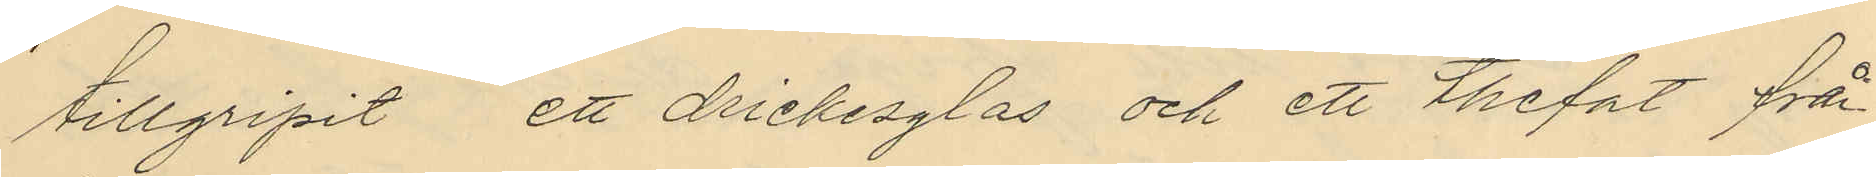tillgripit ett drickesglas och ett thefat från
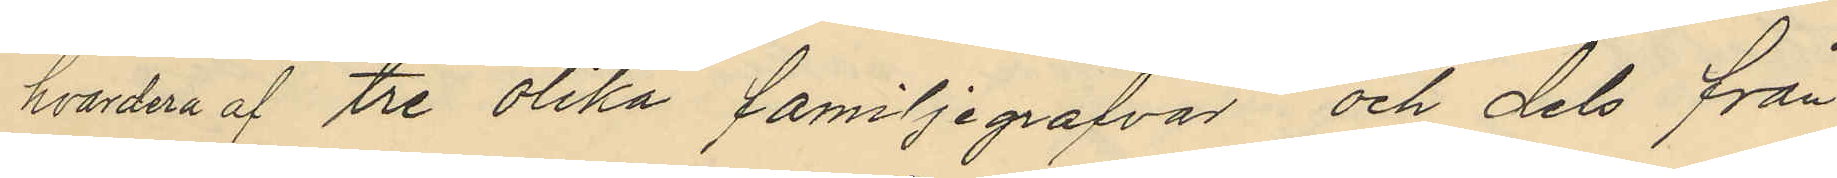hvardera af tre olika familjegrafvar och dels från
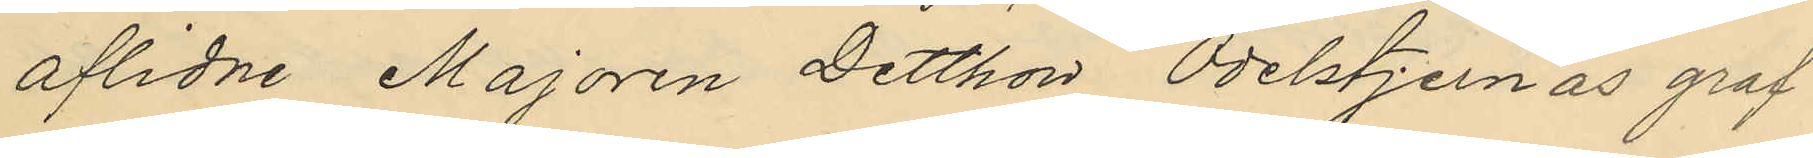aflidne Majoren Detthon Odelstjernas graf¬
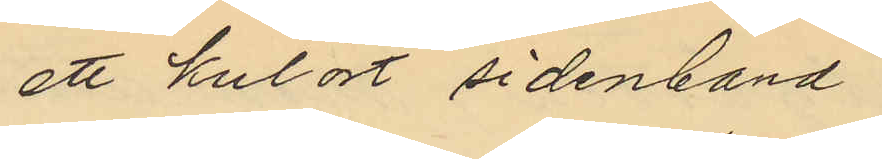ett kulört sidenband.
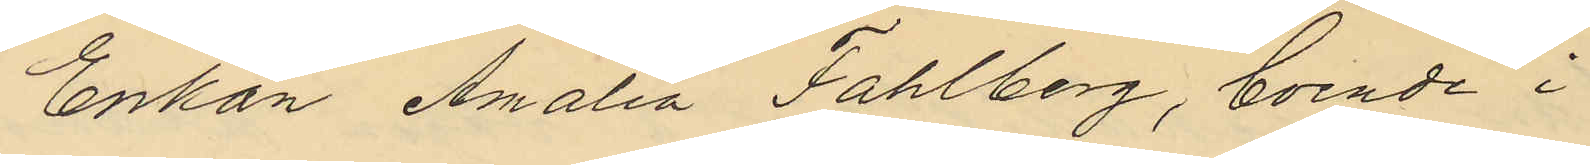Enkan Amalia Fahlberg, boende i
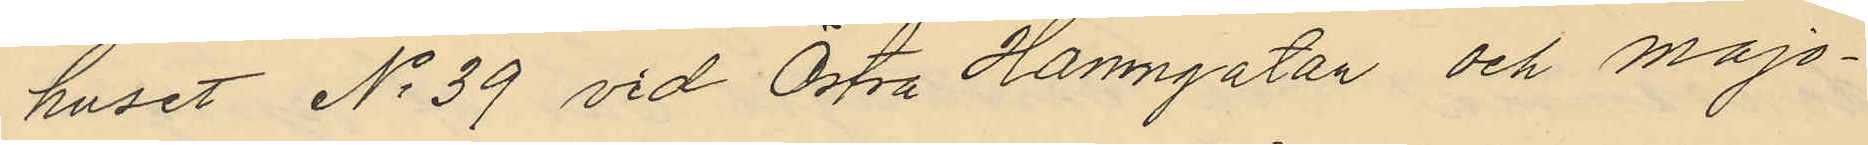huset No 39 vid Östra Hamngatan och Majo¬
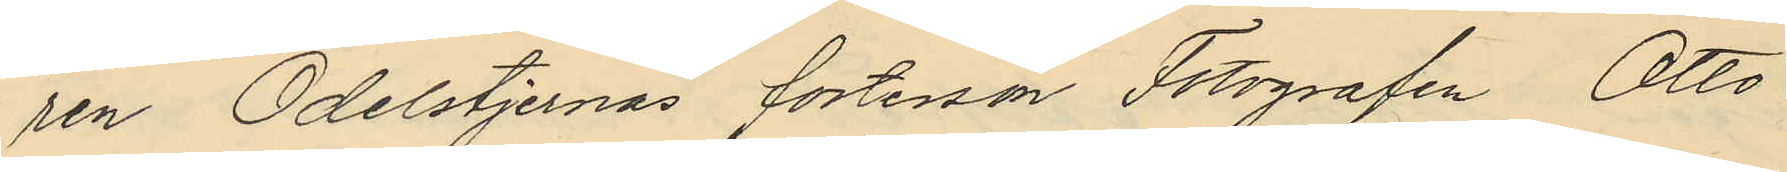ren Odelstjernas fosterson Fotografen Otto
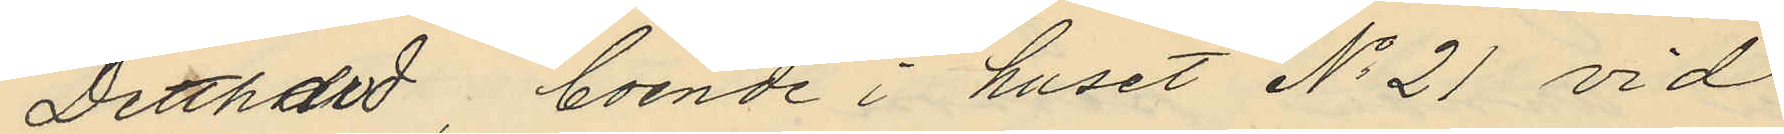Detthard, boende i huset No 21 vid
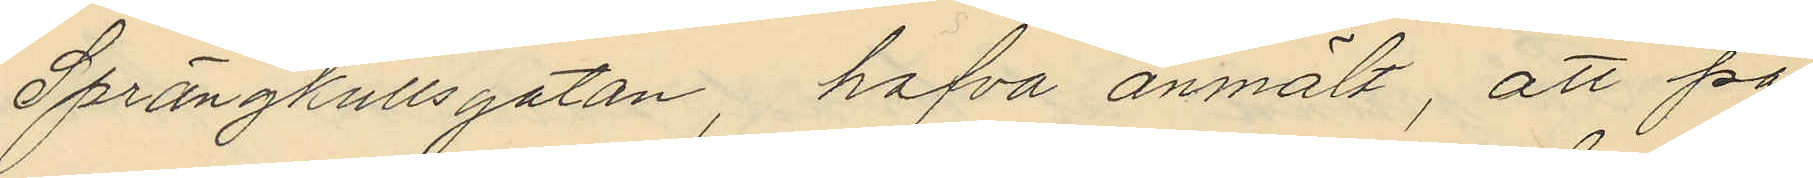Sprängkullsgatan, hafva anmält, att på
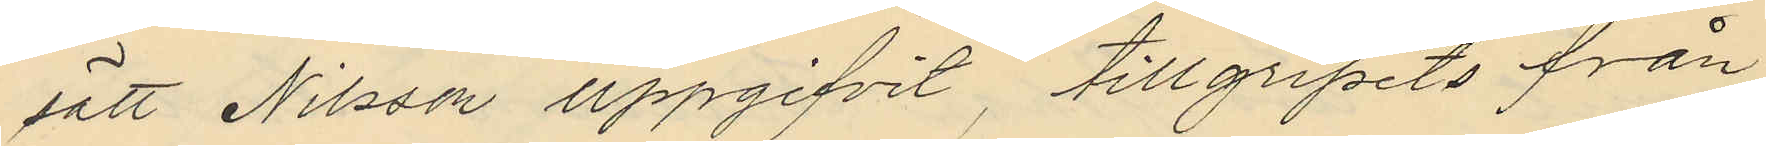sätt Nilsson uppgifvit, tillgripits från
